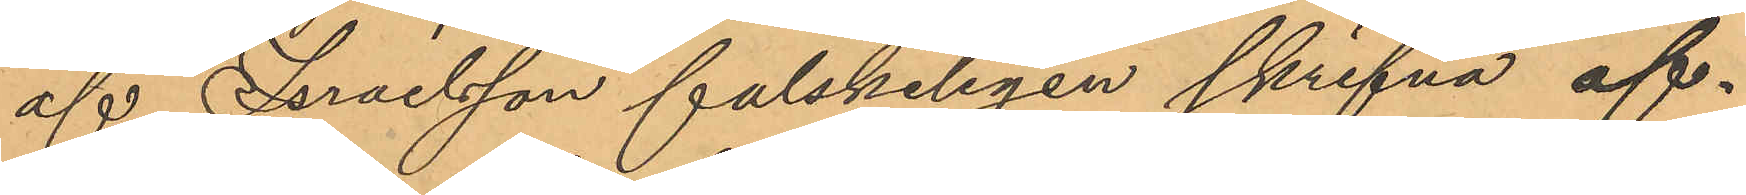af Israelsson falskeligen skrifna af¬
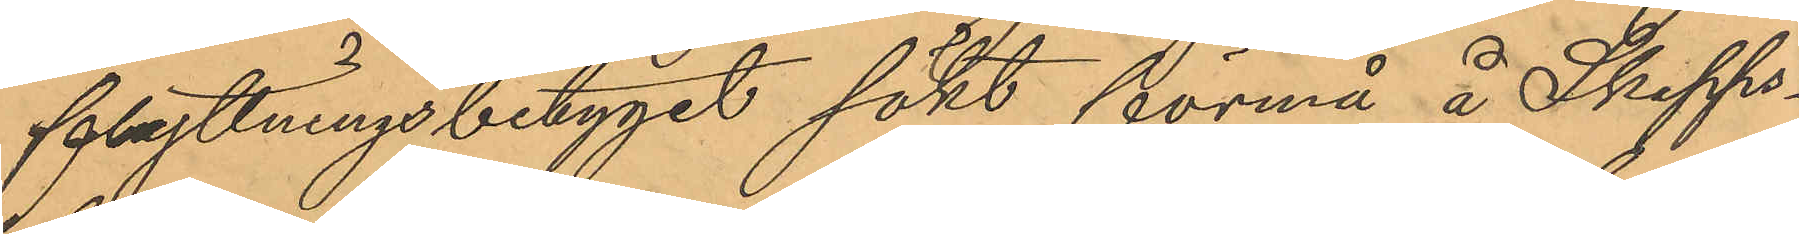flyttningsbetyget sökt förmå å Skepps¬
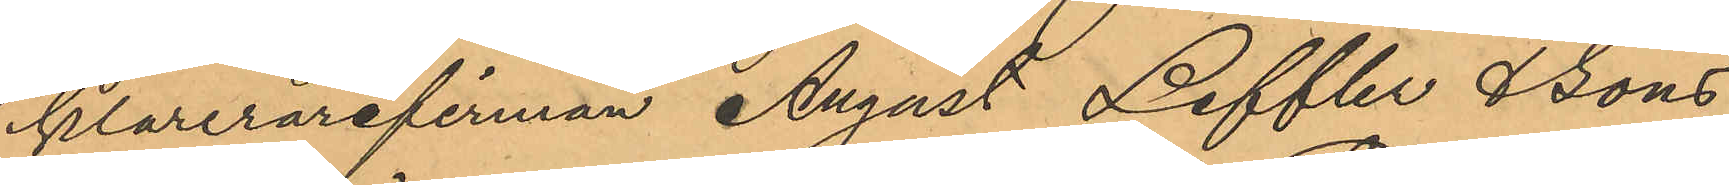klarerarefirman August Leffler & Sons
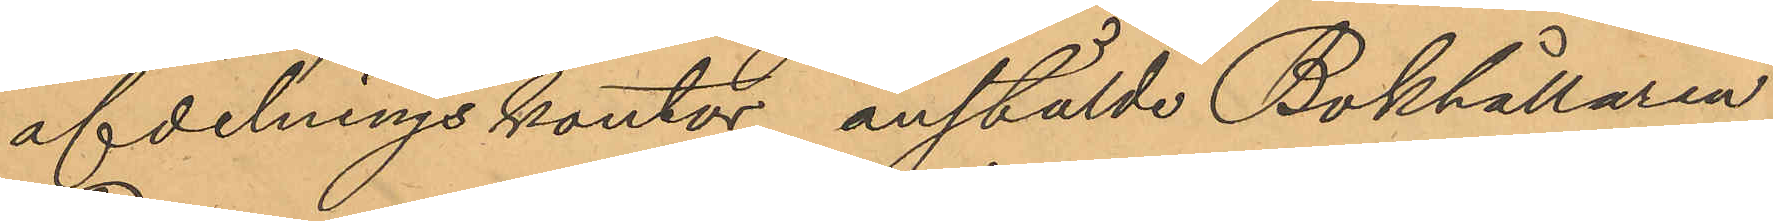afdelningskontor anstälde Bokhållaren
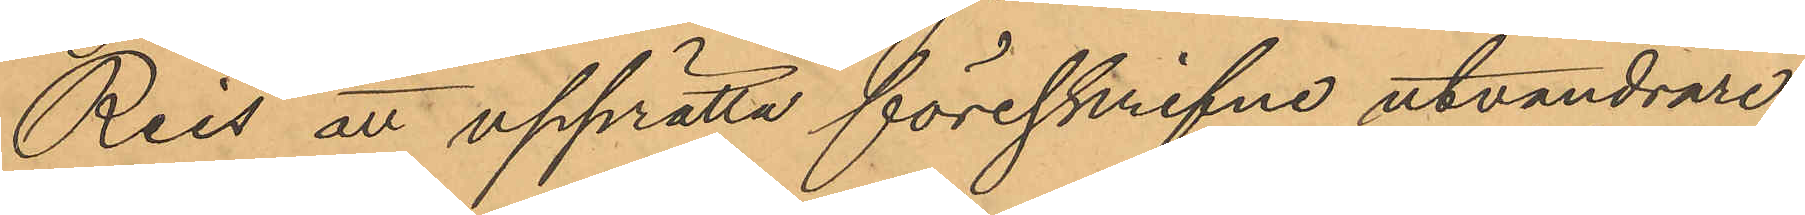Reis att upprätta föreskrifne utvandrare¬
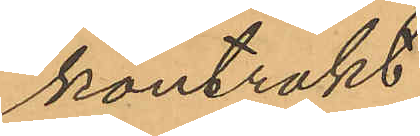kontrakt.
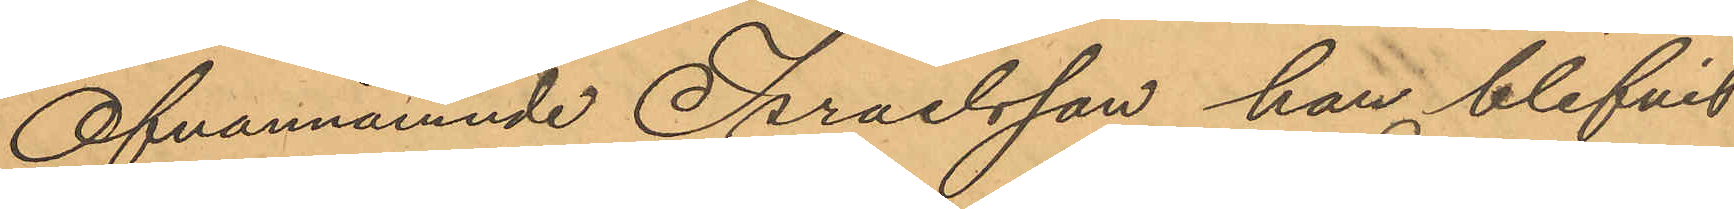Ofvannämnde Israelsson han blifvit
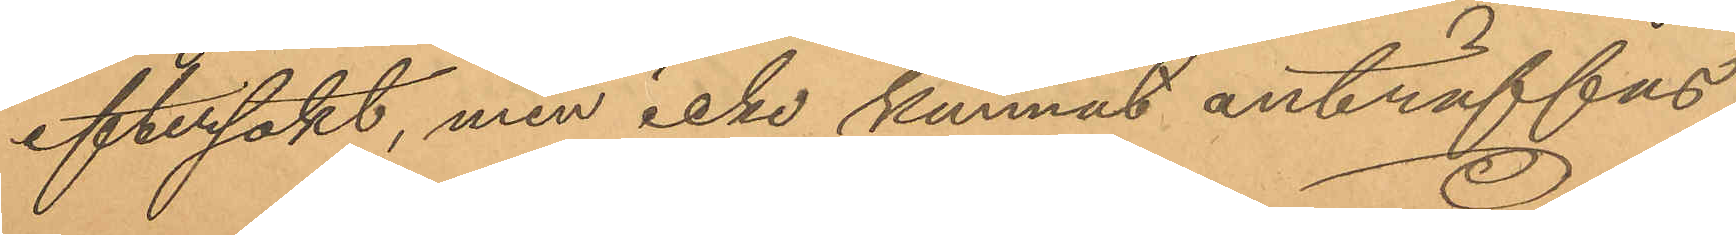eftersökt, men icke kunnat anträffas,
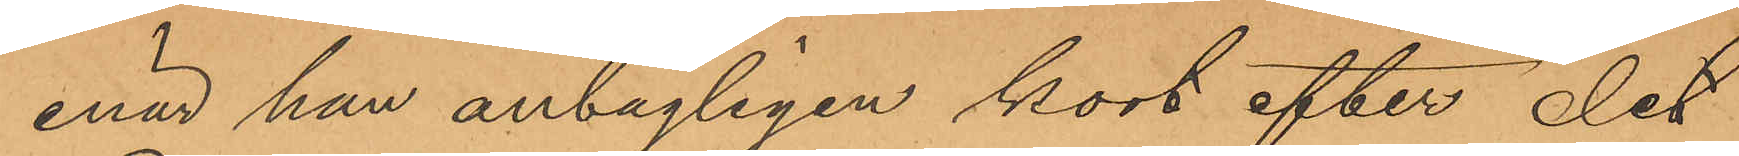enär han antagligen kort efter det
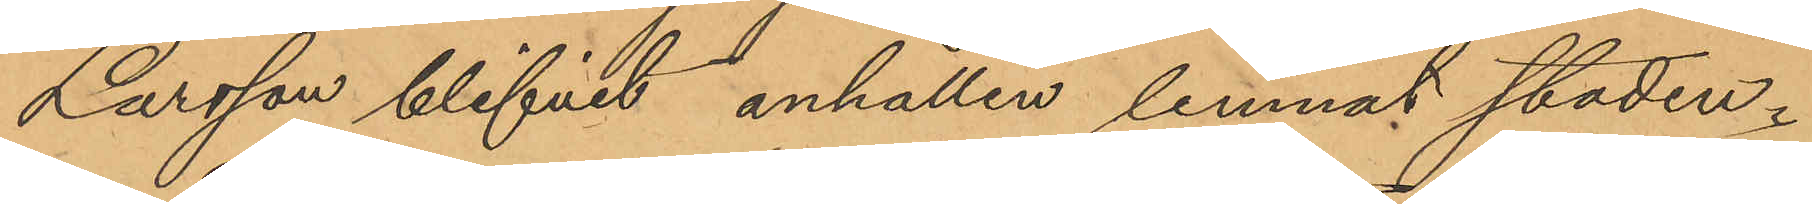Larsson blifvit anhållen lemnat staden.
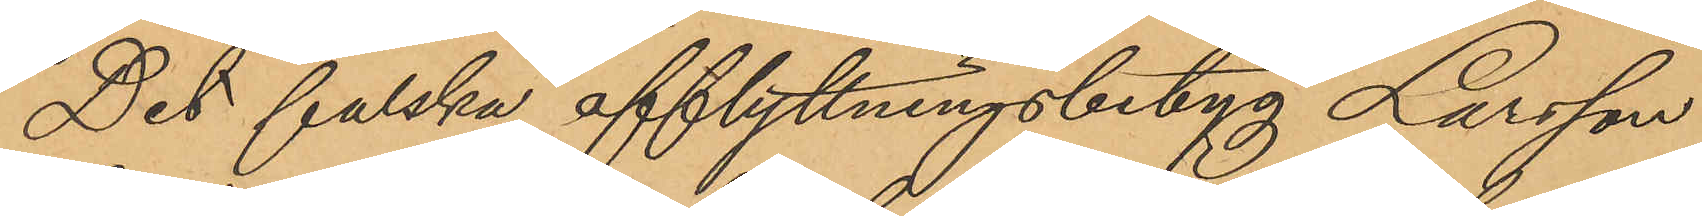Det falska afflyttningsbetyg Larsson
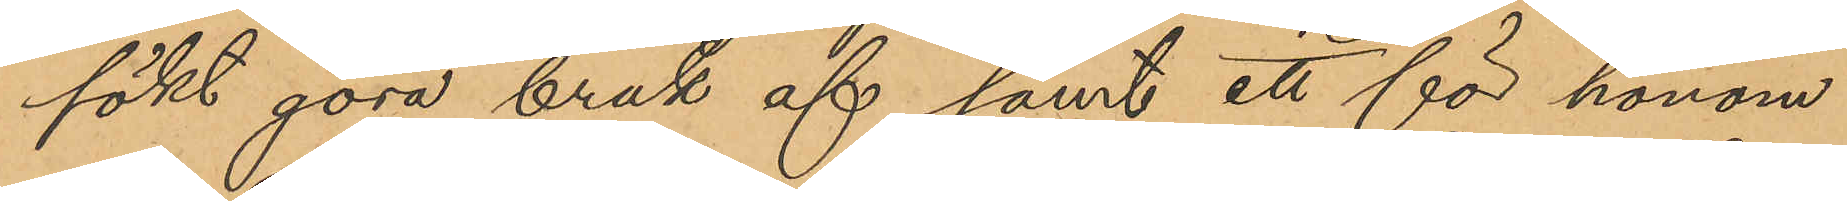sökt göra bruk af samt ett för honom
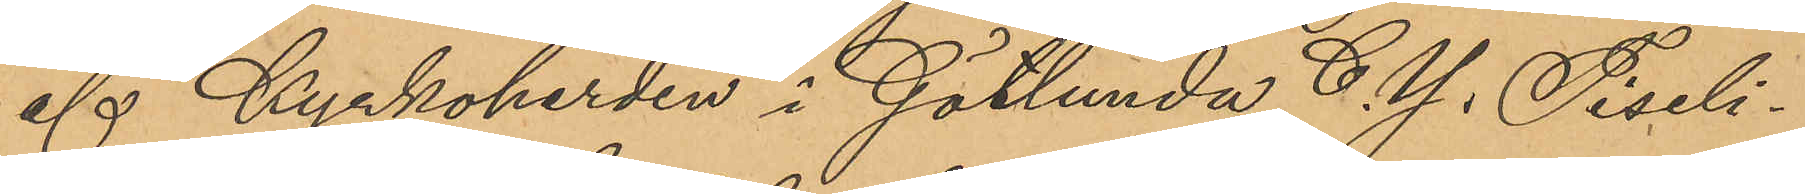af Kyrkoherden i Götlunda C. Y. Tiseli¬
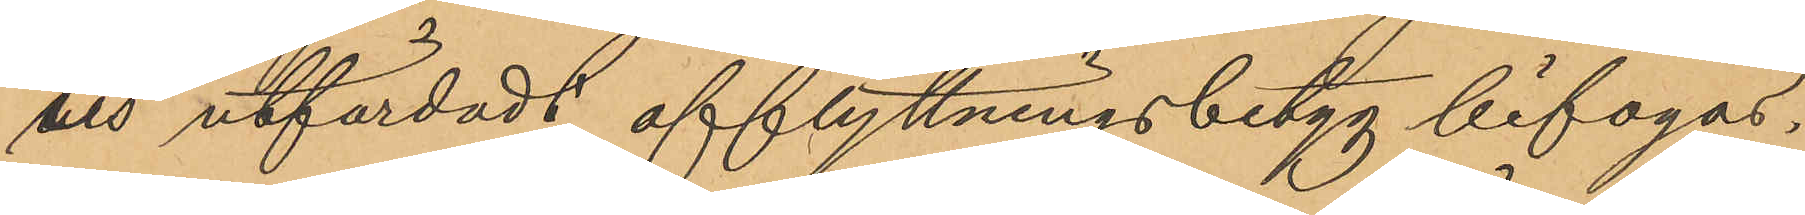uis utfärdadt afflyttningsbetyg bifogas.
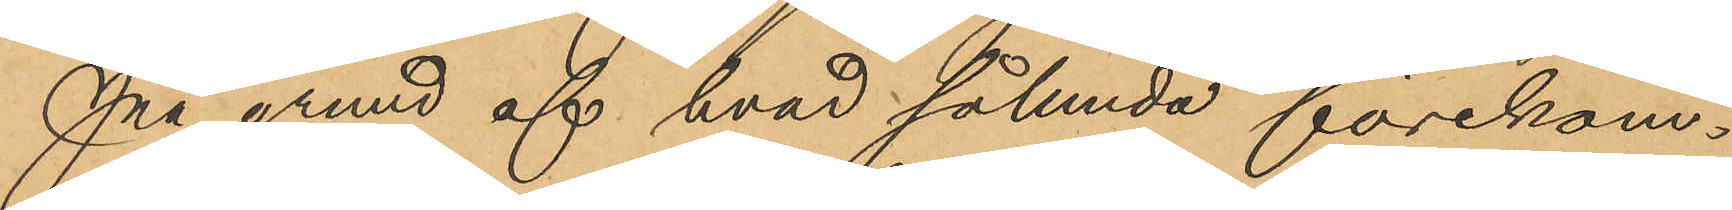På grund af hvad sålunda förekom¬
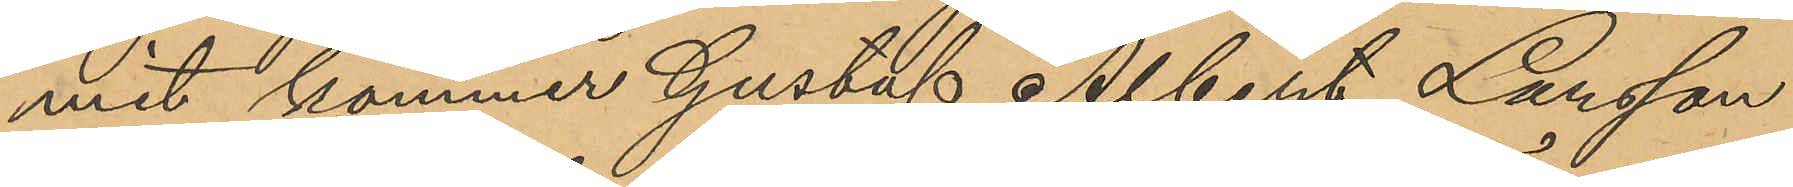mit kommer Gustaf Albert Larsson
